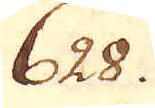628.
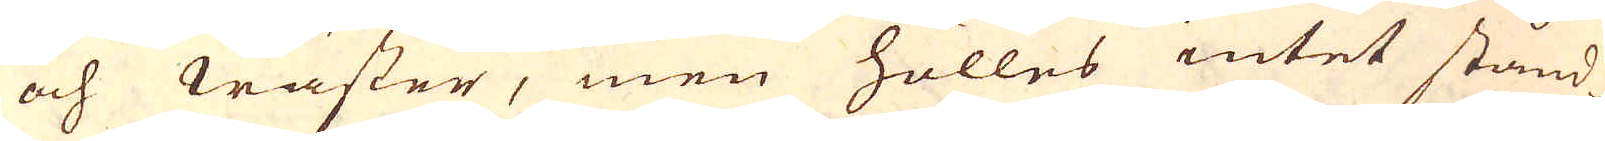och wäster, men hölles intet stånd-
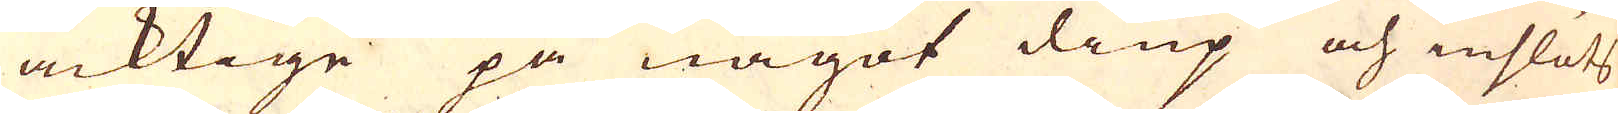acktige på något diup och inslöts
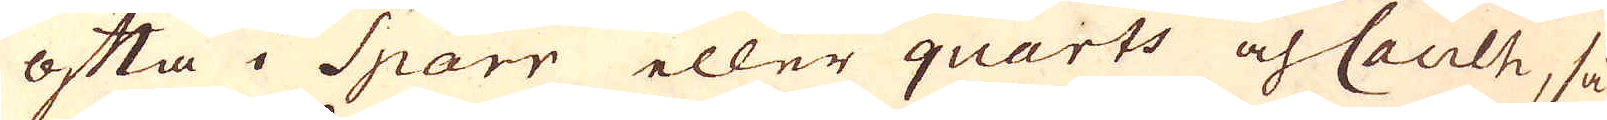ofta i Sparr eller quarts och Caulh, så
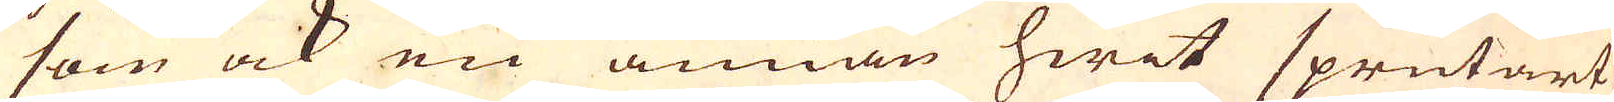som ock en annan hwit sprutart
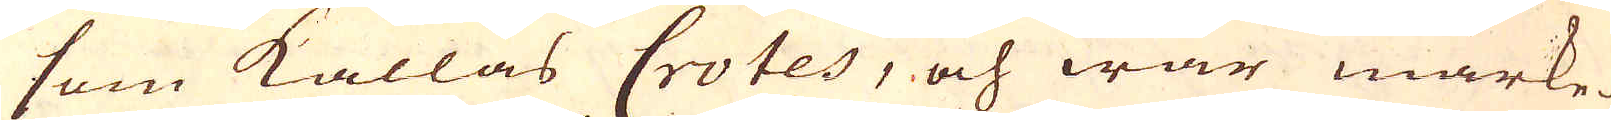som kallas Crotes, och war märke-
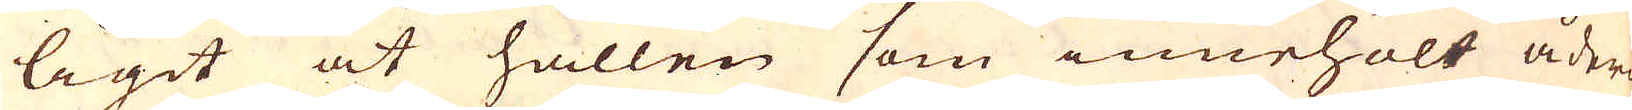ligit at hållen som innehölt ådren
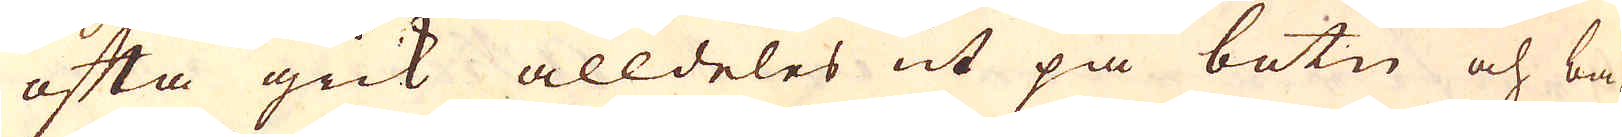ofta gick alldeles ut på botn och ba-
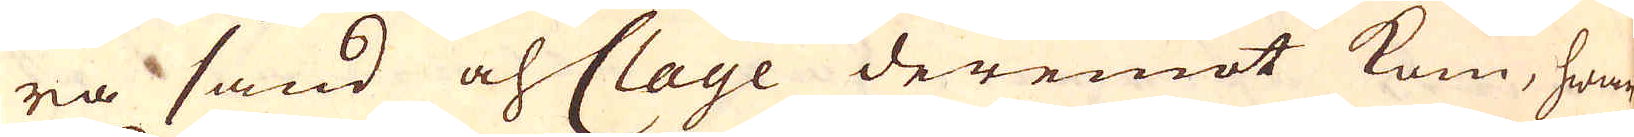ra sand och Clage deremot kom, hwar
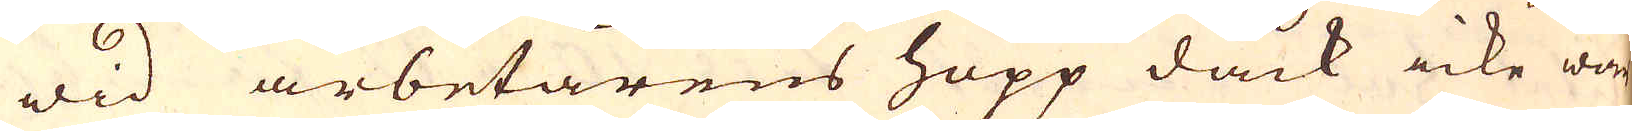wid arbetarens hopp dåck icke wore
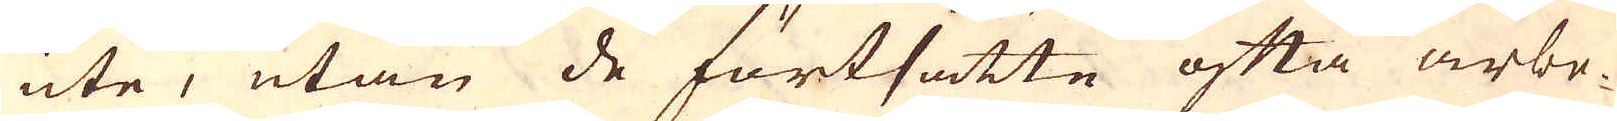ute, utan de förtsatte ofta arbe-
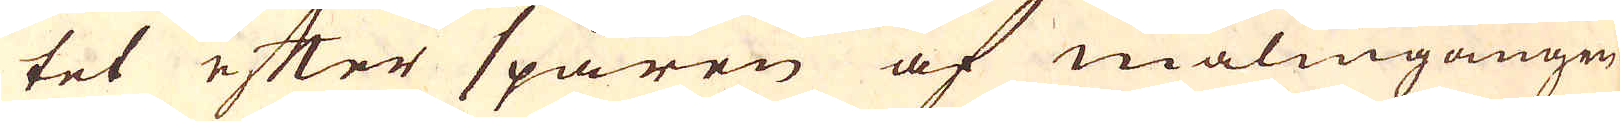tet efter spåren af malmgången
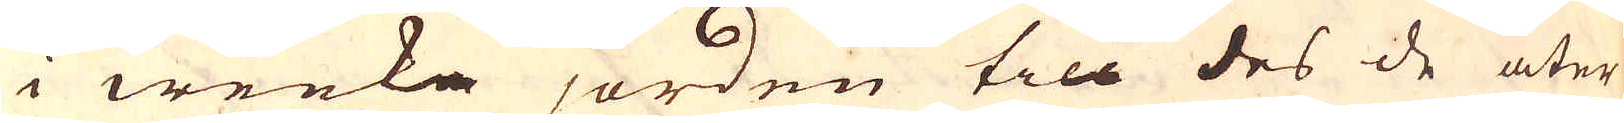i weeka jorden till des de åter
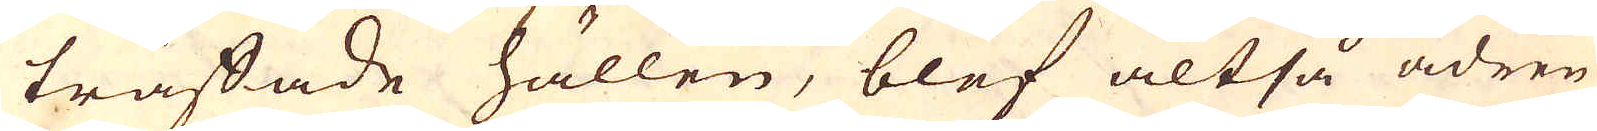träffade hällen, blef altså ådren
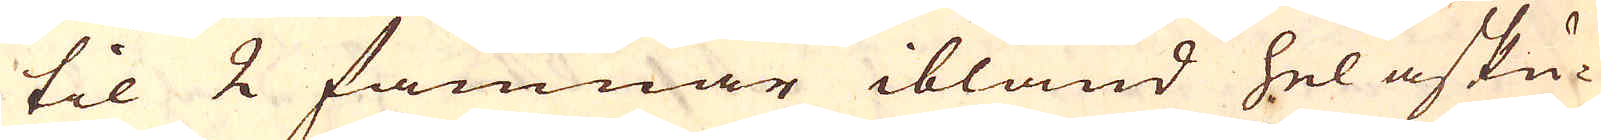til 2 famnar ibland hel asku-
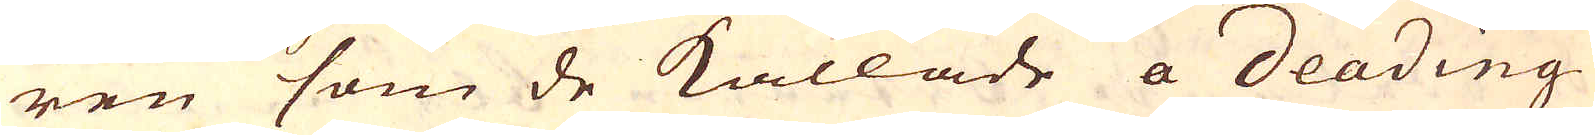ren som de kallade a deading
